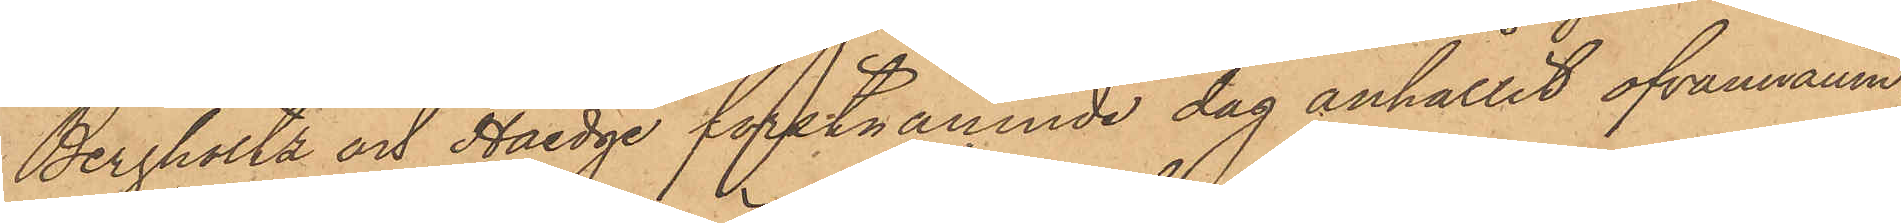Bergholtz och Haedge förstnämnde dag anhållit ofvannämn¬
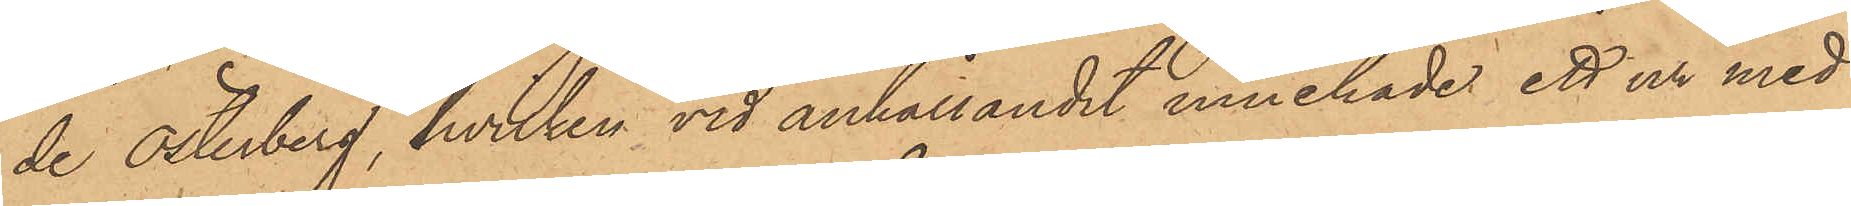de Österberg, hvilken vid anhållandet innehade ett ur med
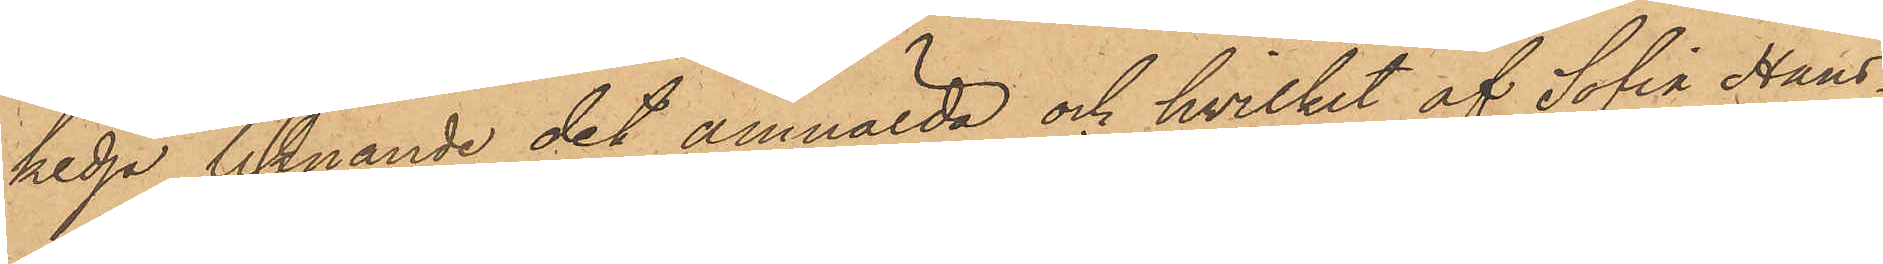kedja, liknande det anmälda och hvilket af Sofia Hans¬
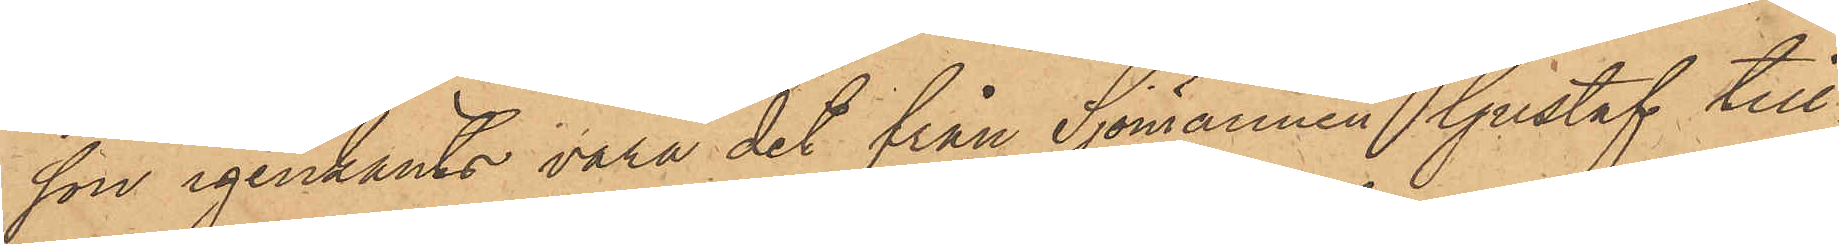son igenkänts vara det från Sjömannen Gustaf till¬
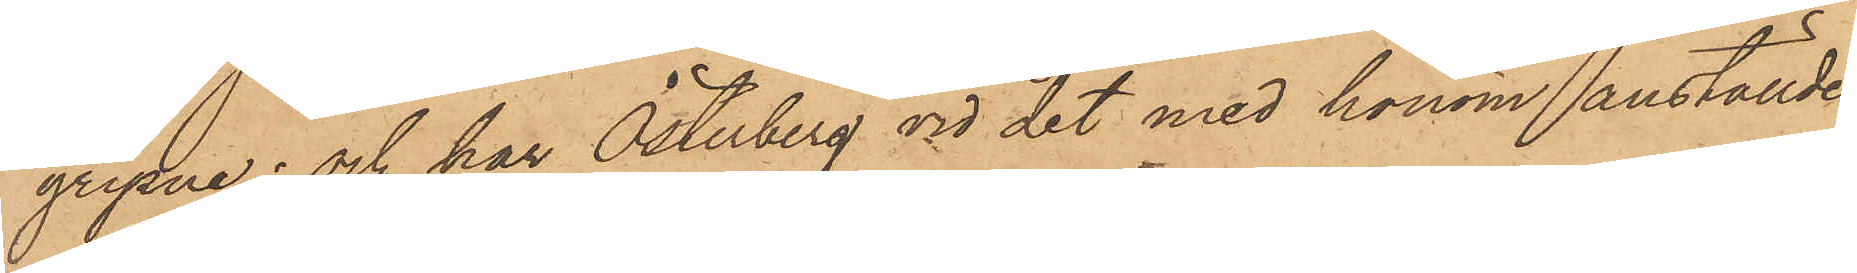gripne; och har Österberg vid det med honom anställde
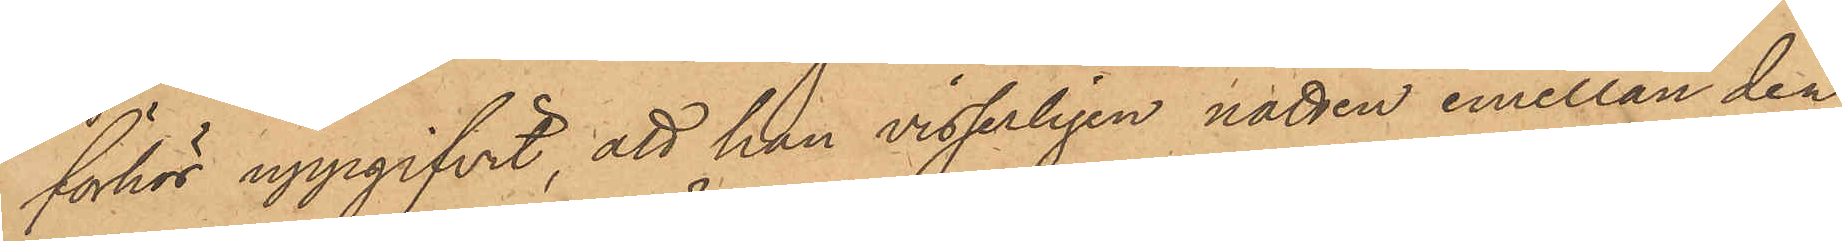förhör uppgifvit, att han visserligen natten emellan den
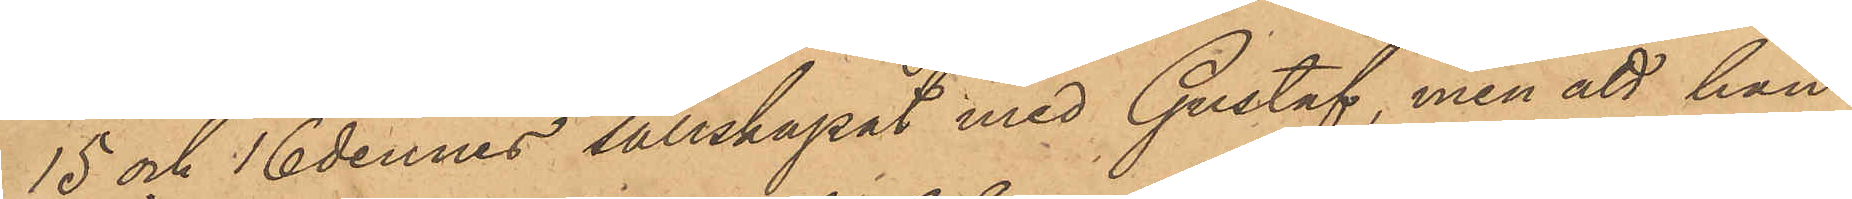15 och 16 dennes sällskapat med Gustaf, men att han
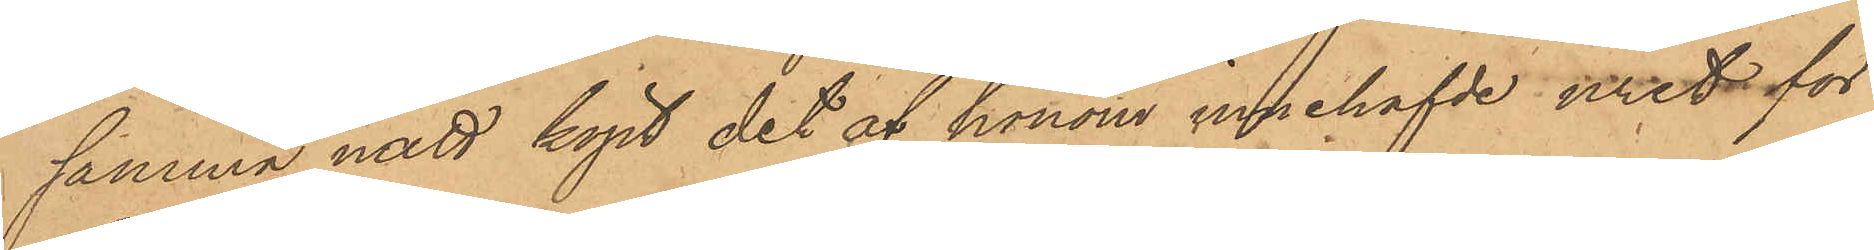samma natt köpt det af honom innehafvde uret för
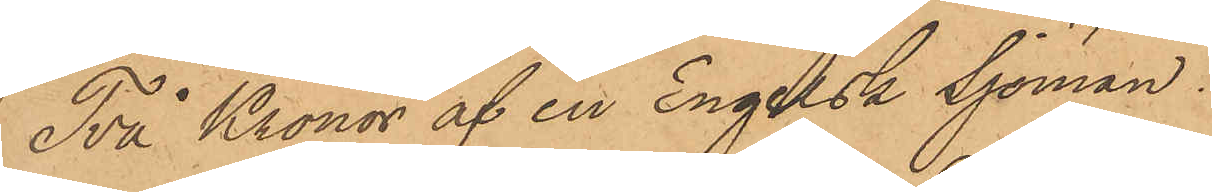Två Kronor af en Engelsk Sjöman.
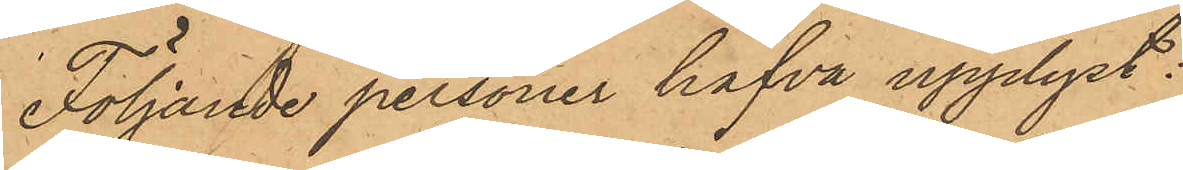Följande personer hafva upplyst:
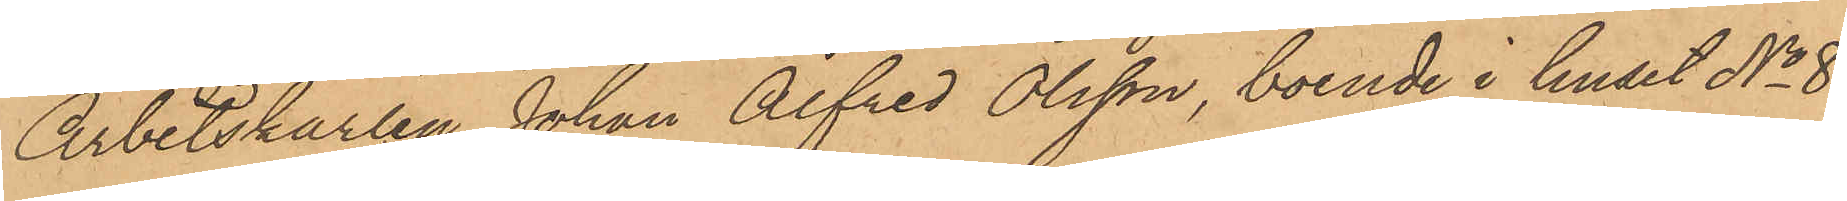Arbetskarlen Johan Alfred Olsson, boende i huset No 8
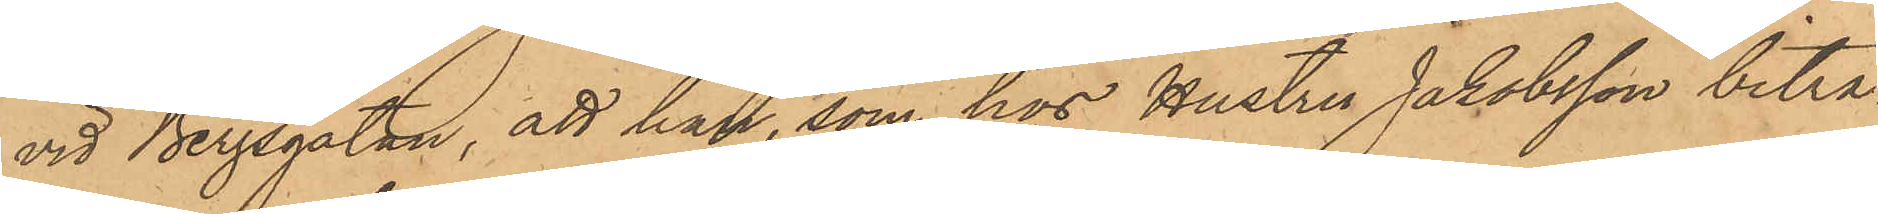vid Bergsgatan, att han, som hos Hustru Jakobsson biträ¬
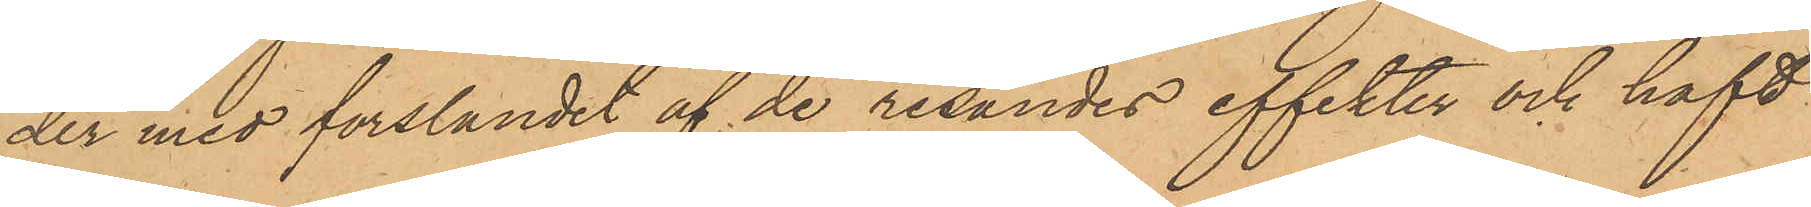der med forslandet af de resandes effekter och haft
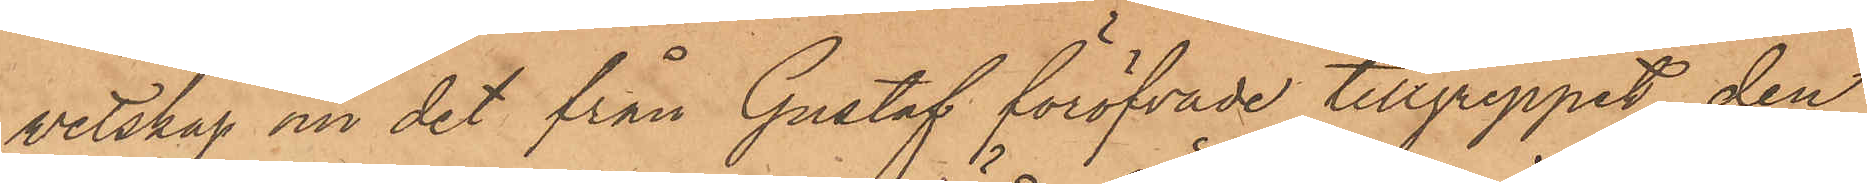vetskap om det från Gustaf föröfvade tillgreppet, den
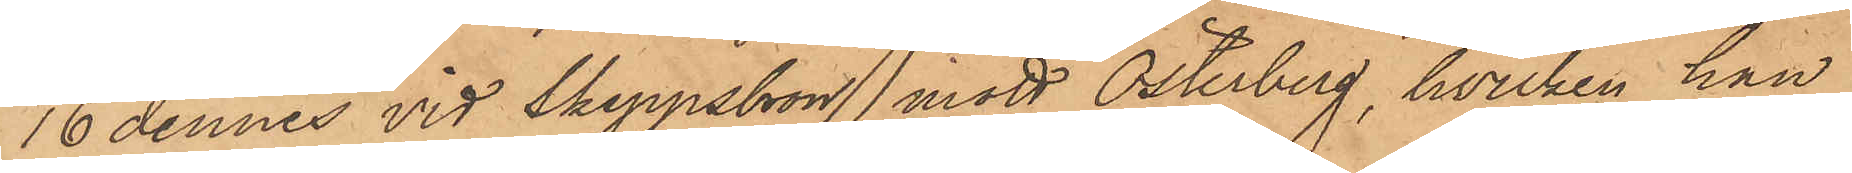16 dennes vid Skeppsbron mött Österberg, hvilken han
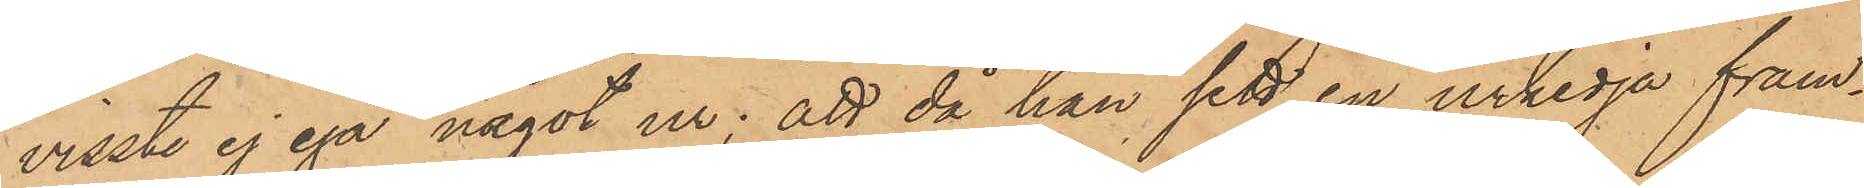visste ej ega något ur; att då han sett en urkedja fram¬
